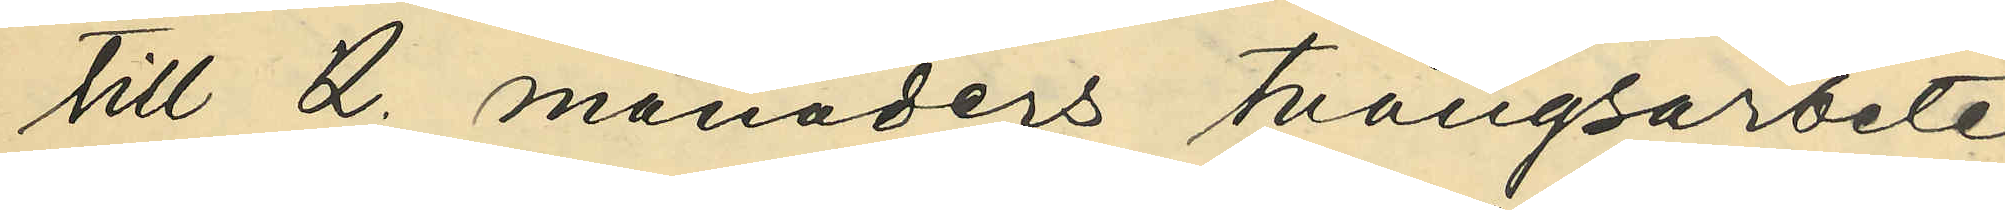till 2. månaders tvångsarbete
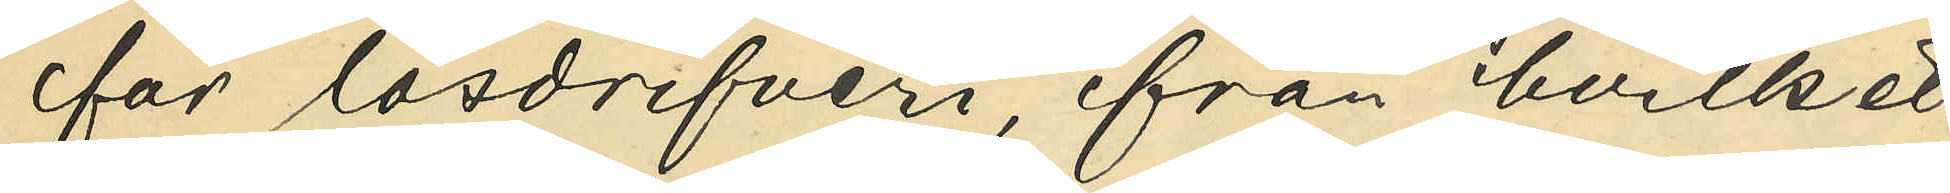för lösdrifveri, från hvilket
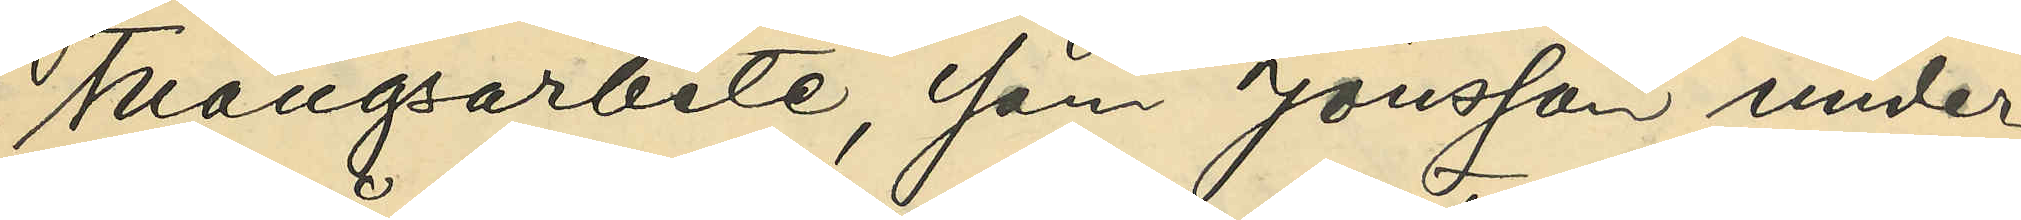tvångsarbete, som Jönsson under¬
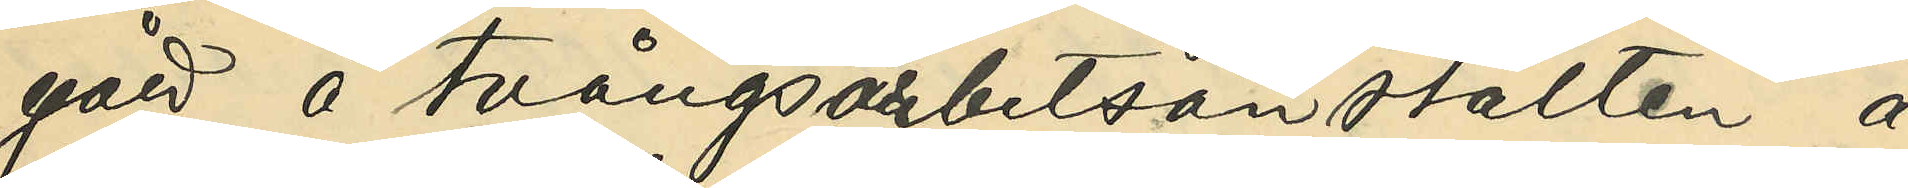gått å tvångsarbetsanstalten å
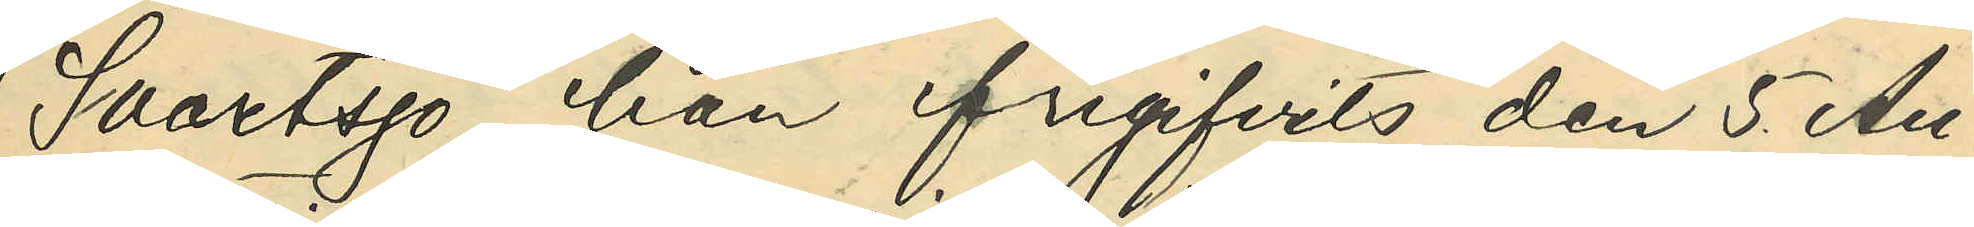Svartsjö, han frigifvits den 5 Au¬
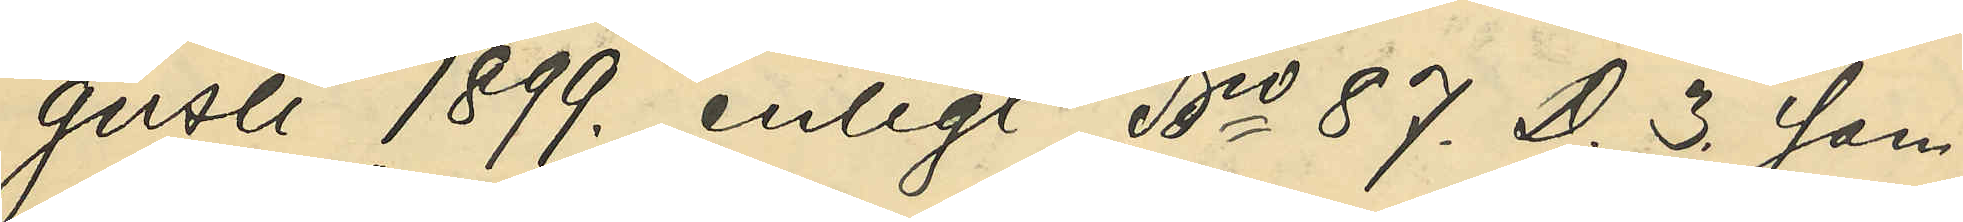gusti 1899. enligt No 87. D. 3. sam¬
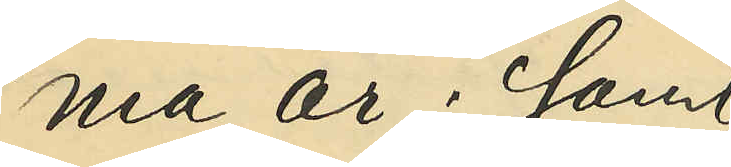ma år; samt
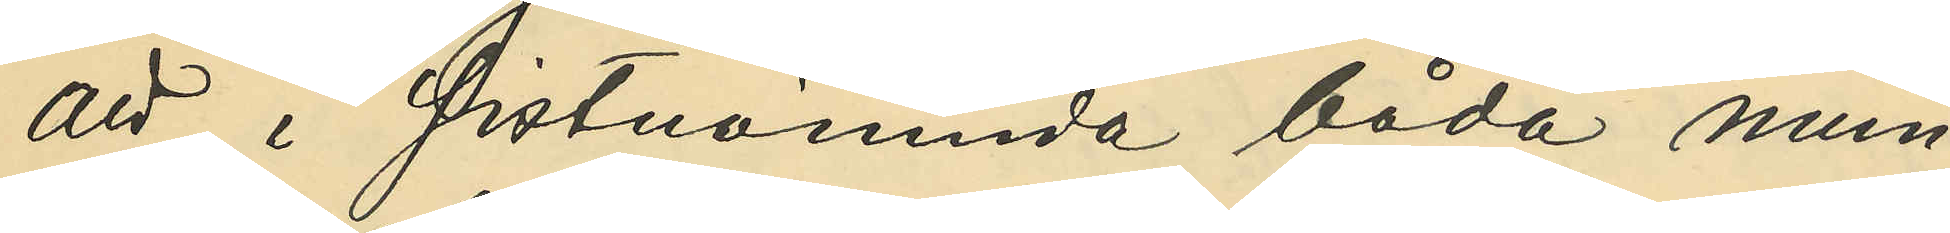att i sistnämnda båda num¬
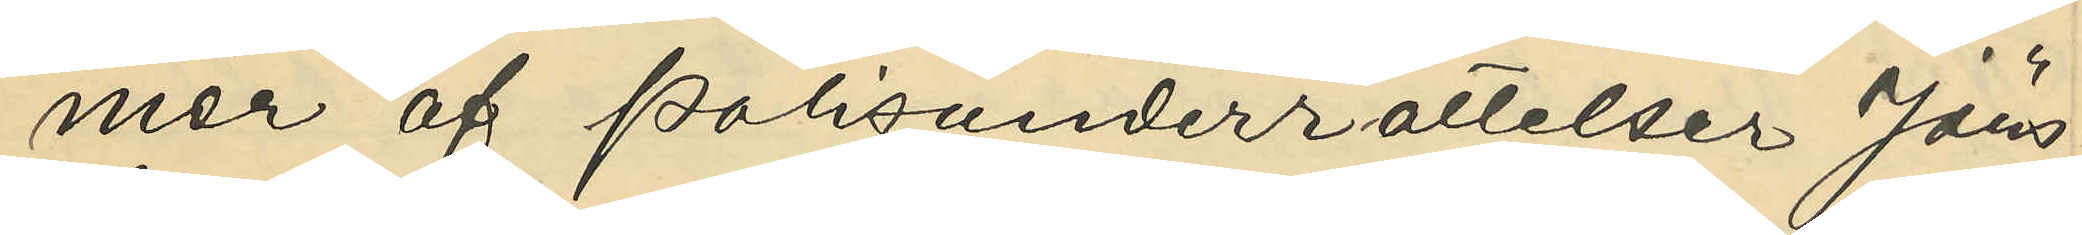mer af Polisunderrättelser Jöns¬
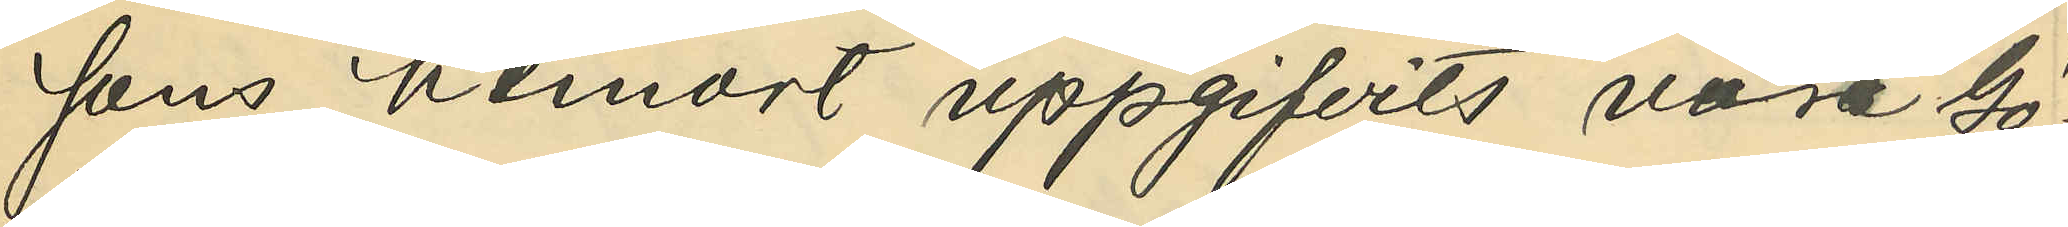sons hemort uppgifvits vara Gö¬
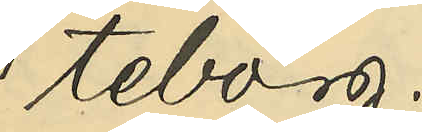teborg.
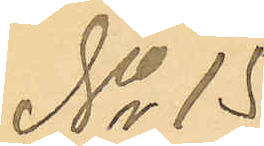No 15.
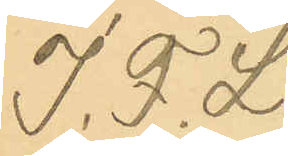J. F. L.
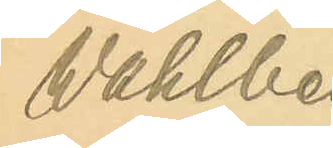Wahlberg
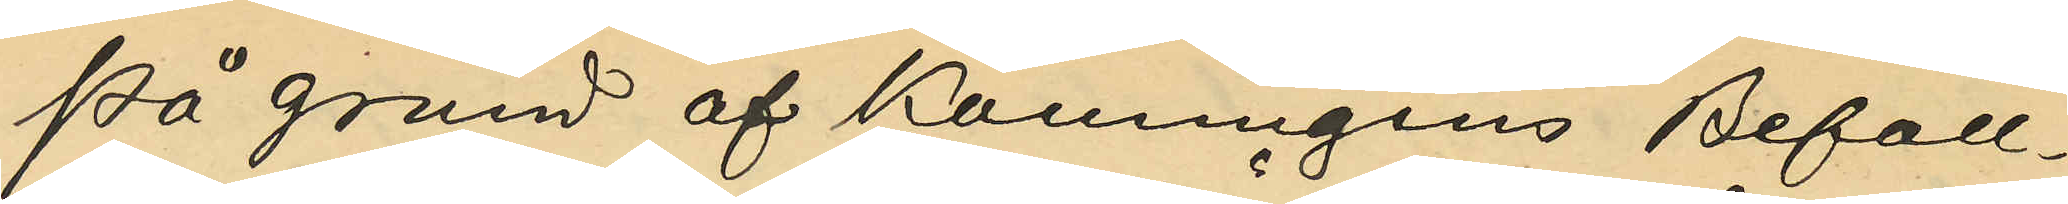På grund af Konungens Befall¬
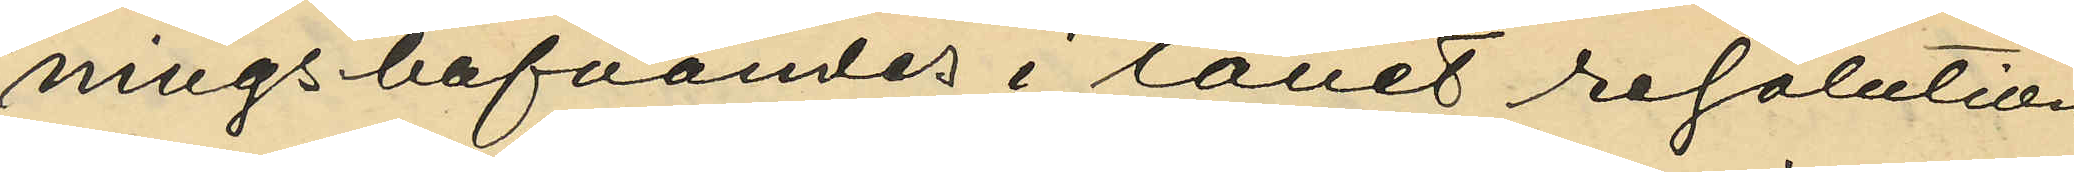ningshafvandes i länet resolution
